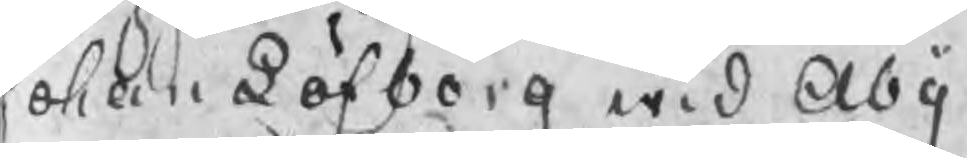Johan Löfberg wid Åby
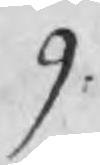9:
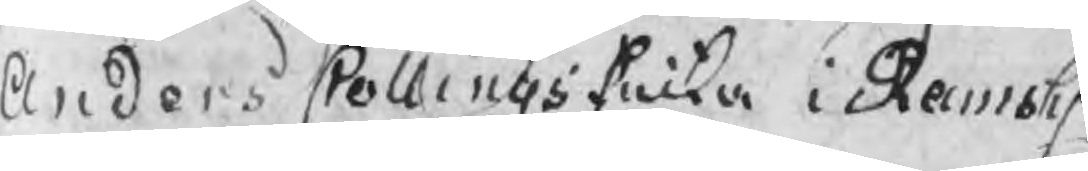Anders Collings Enka i Ramsh.
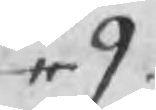,, 9.
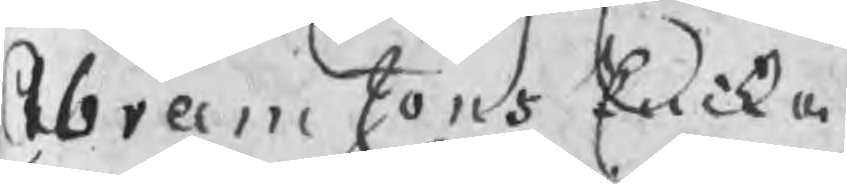Abram Jons Encka
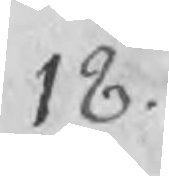18.
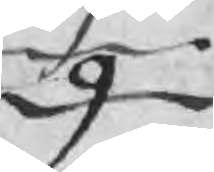9
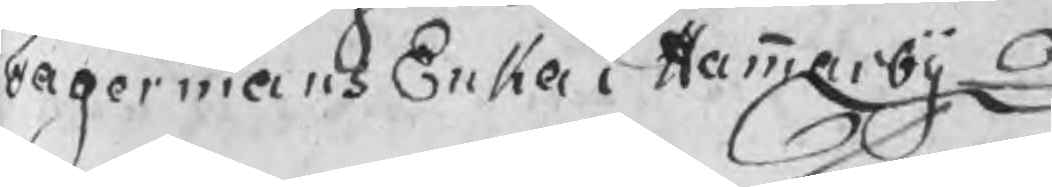Fagermans Enka i Hammarby
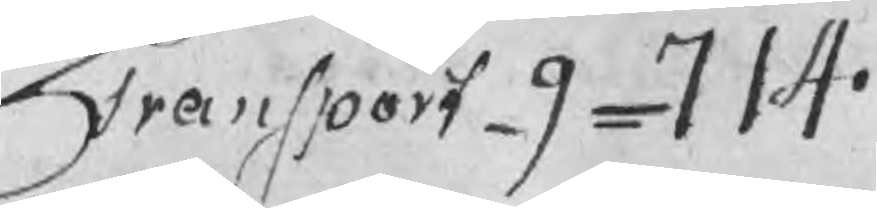Transport 9 = 714.
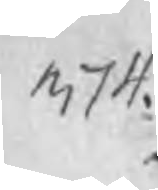374.
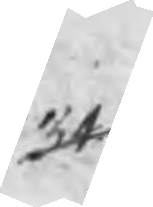34
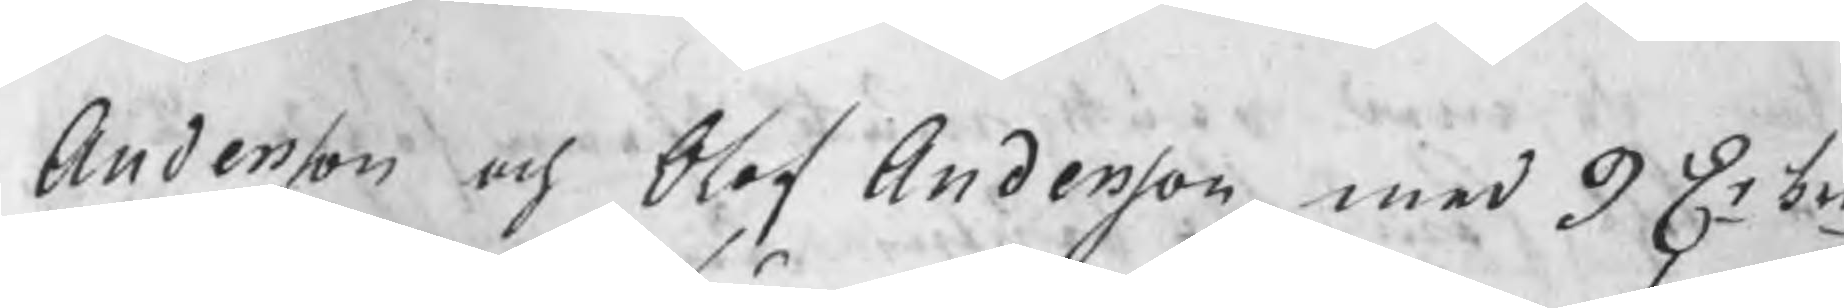Andersson och Olof Andersson med 9 Dr b
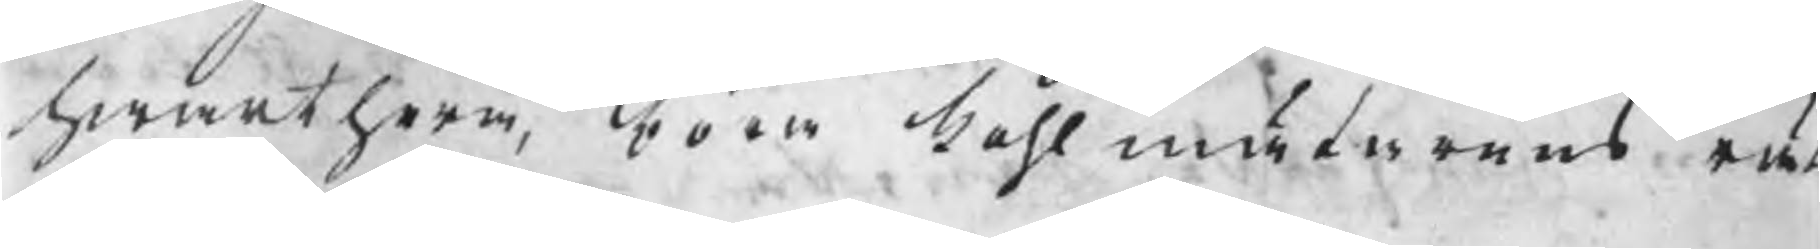hwarthera, böra kohlmätarens rät
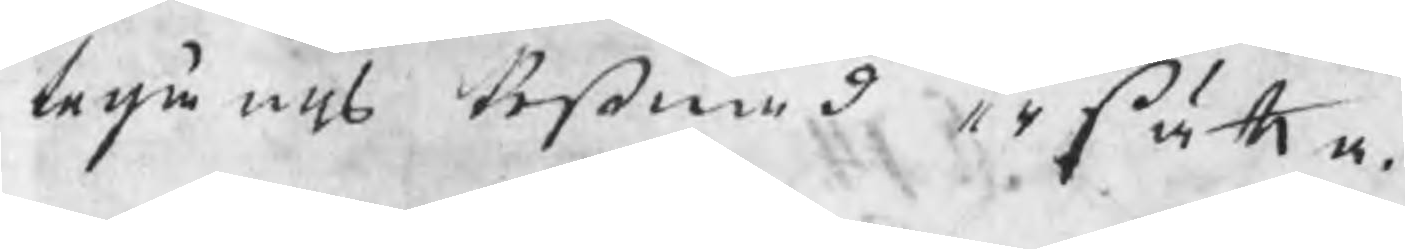tegångs kostnad ersätta.
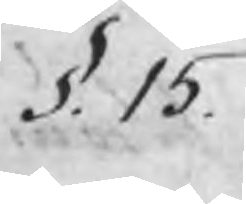§. 15.
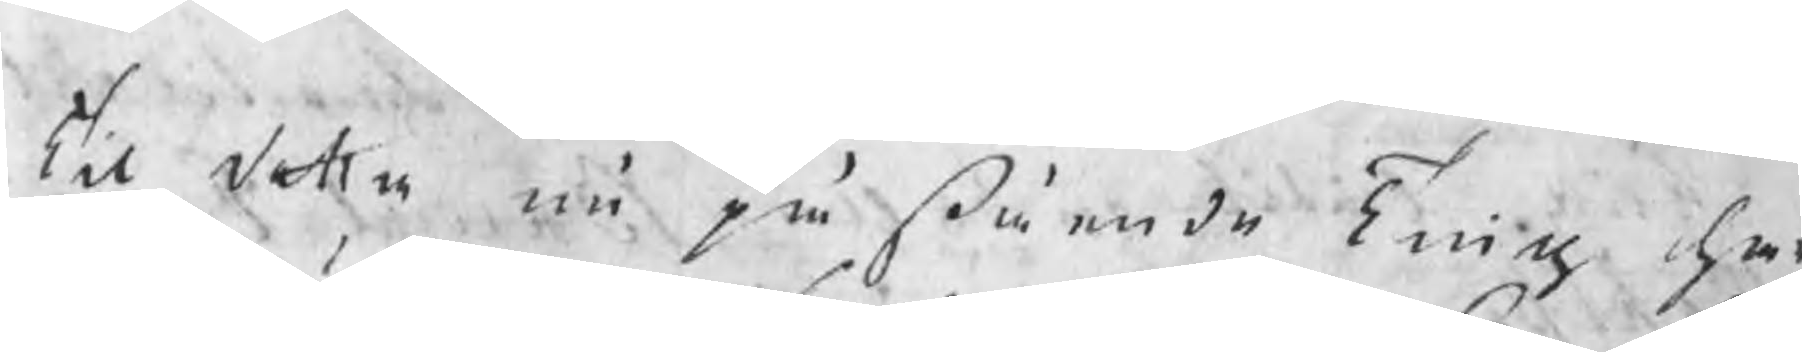Til detta nu påstående Ting har
